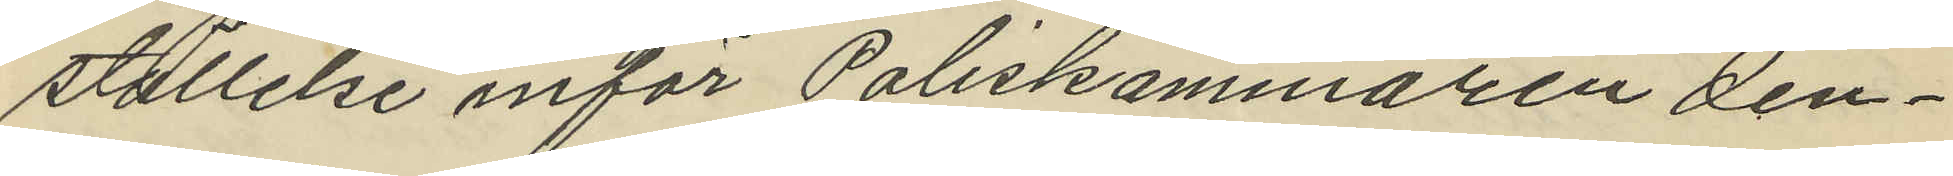ställelse inför Poliskammaren den¬
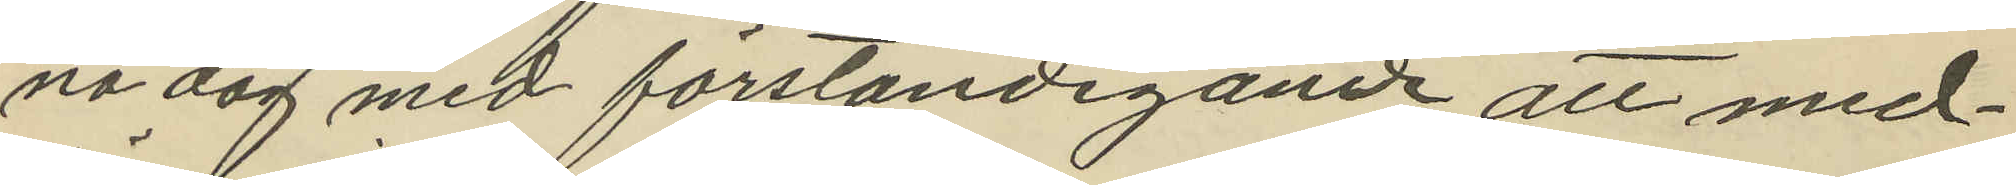na dag med förständigande att med¬
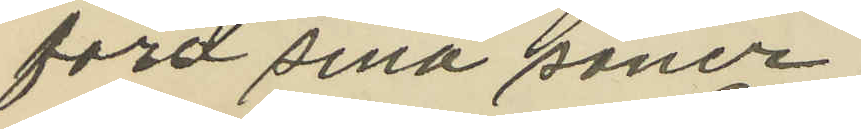föra sina söner
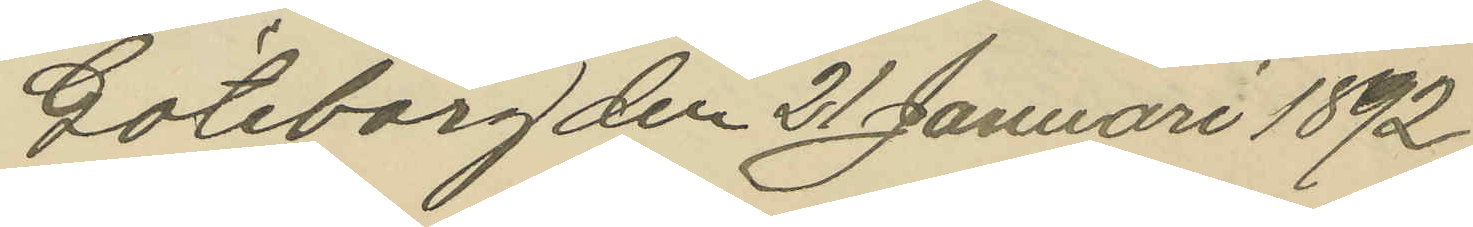Göteborg den 21 Januari 1892.
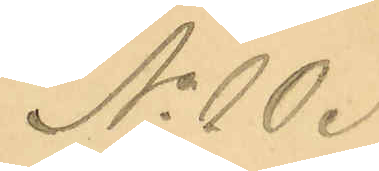No 10.
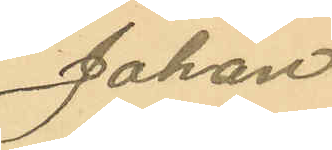Johan
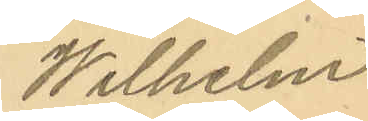Wilhelm
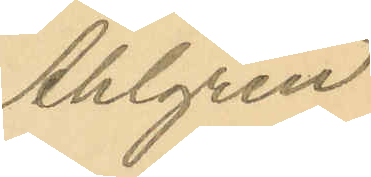Ahlgren
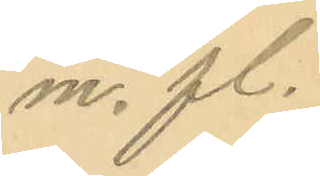m. fl.
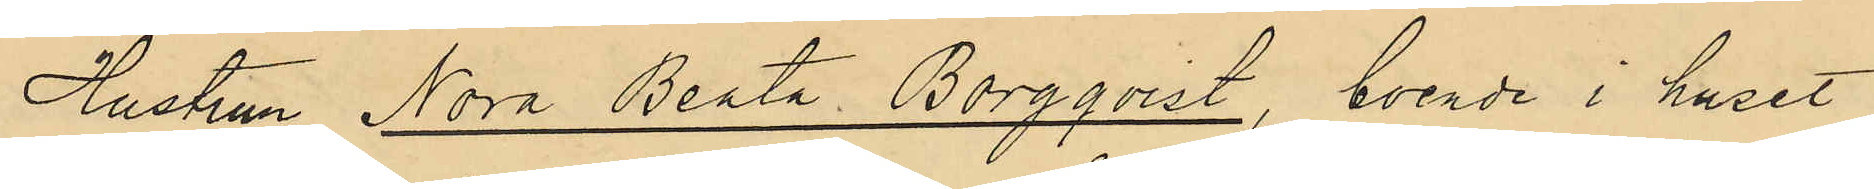Hustrun Nora Beata Borgqvist, boende i huset
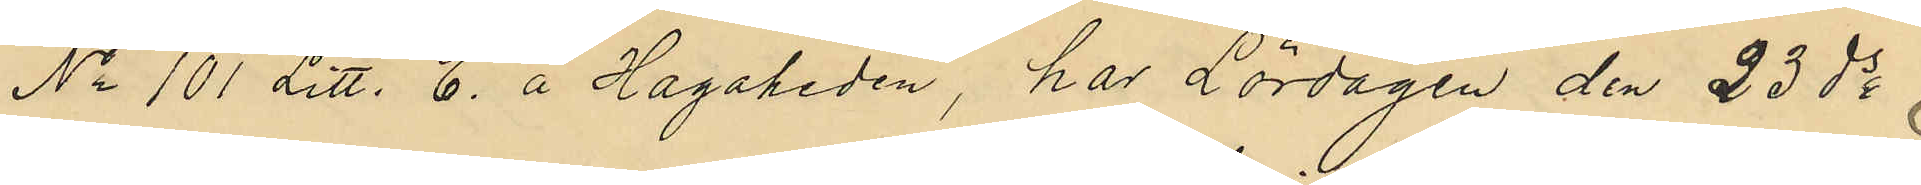No 101 Litt. E. å Hagaheden, har Lördagen den 23 ds
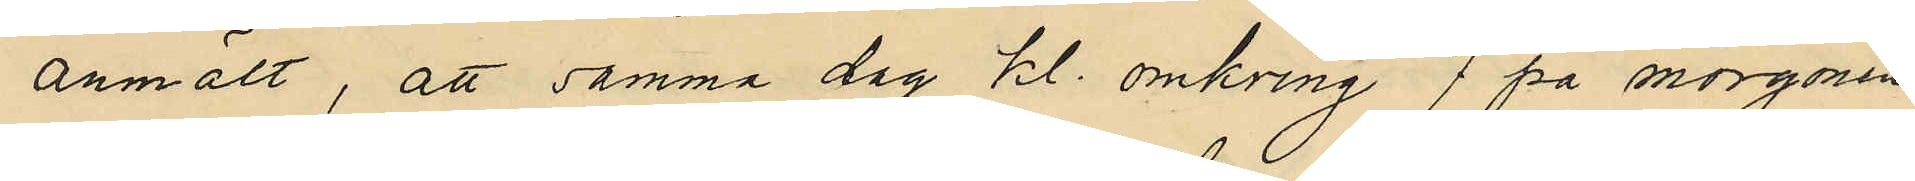anmält, att samma dag kl. omkring 7 på morgonen
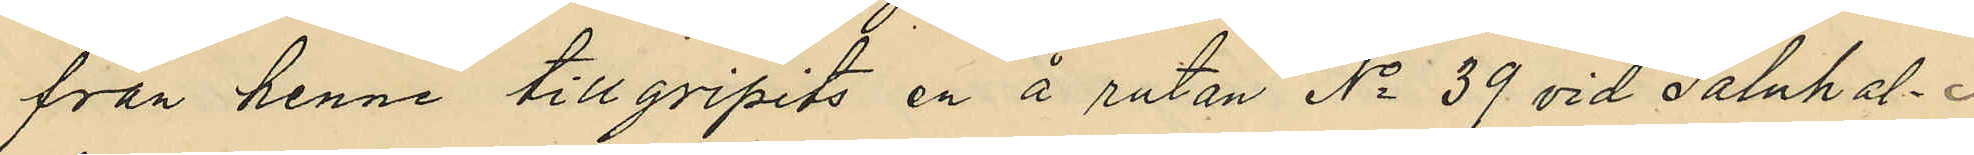från henne tillgripits en å rutan No 39 vid Saluhal¬
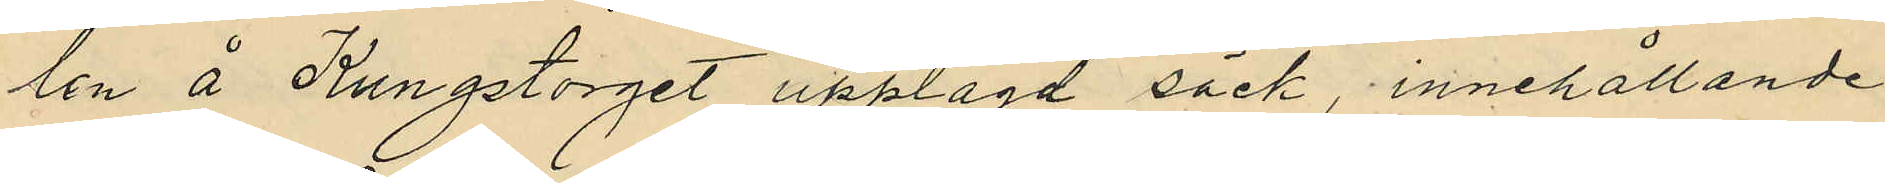len å Kungstorget upplagd säck, innehållande
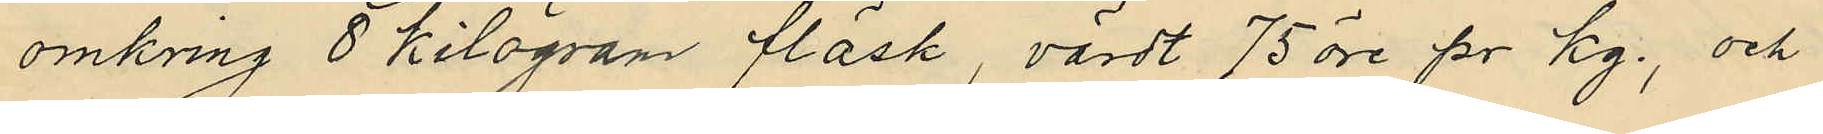omkring 8 kilogram fläsk, värdt 75 öre pr kg., och
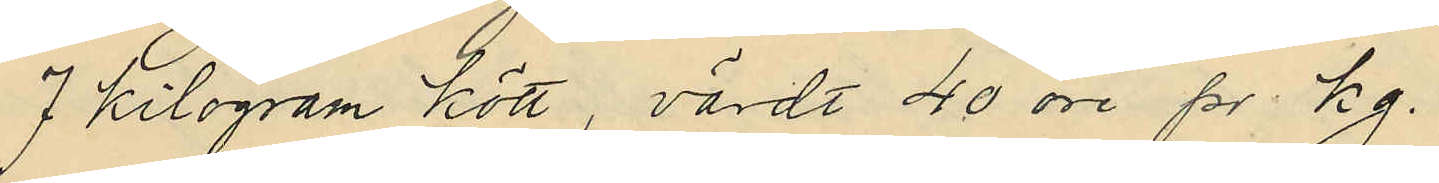7 kilogram kött, värdt 40 öre pr kg.
